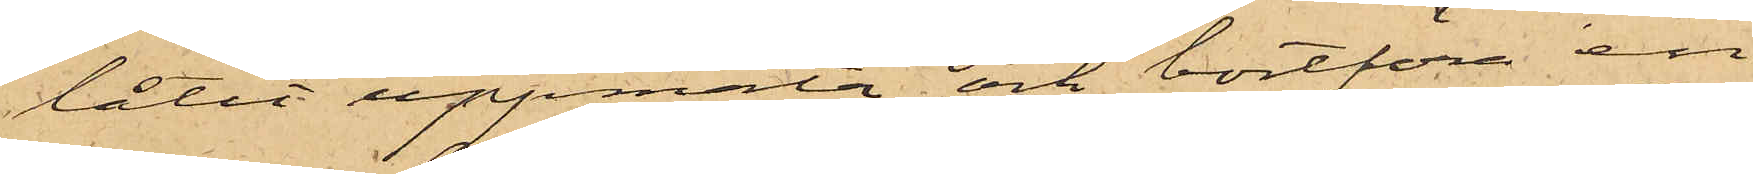låtit uppmäta och bortföra en
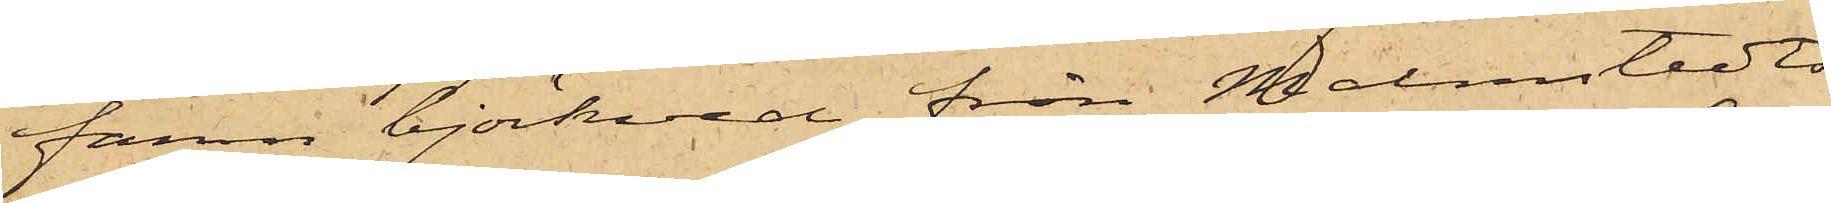famn björkved från Malmstedts
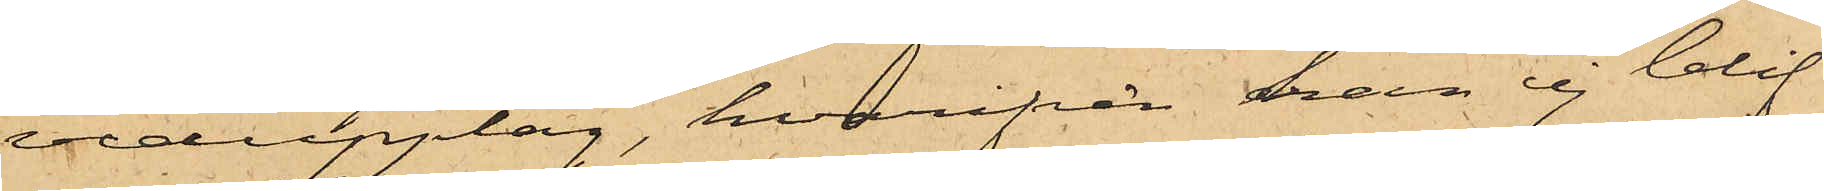vedupplag, hvarifrån han ej blif¬
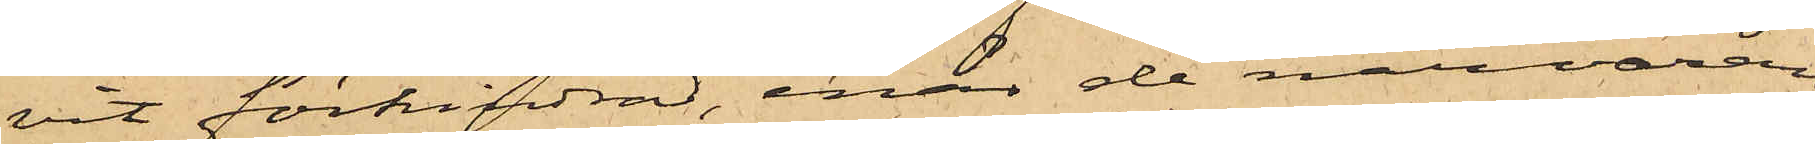vit förhindrad, enär de närvaran¬
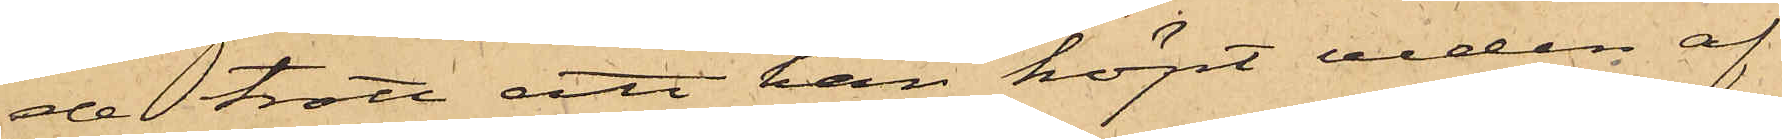de trott att han köpt veden af
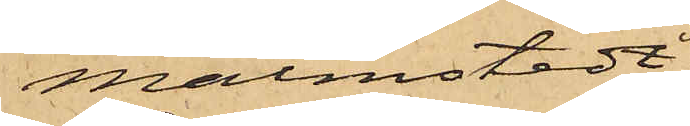Malmstedt;
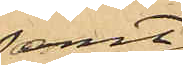samt
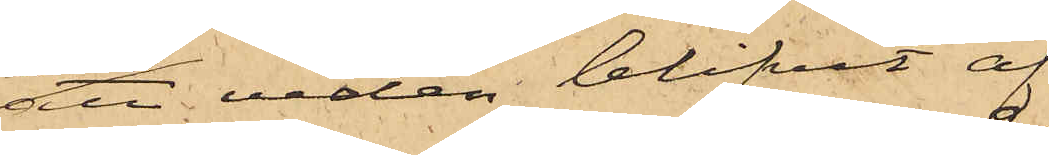att veden blifvit af
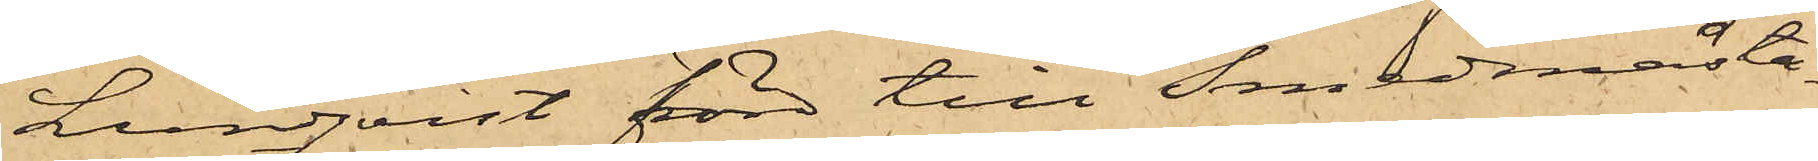Lundqvist förd till Smedmästa¬
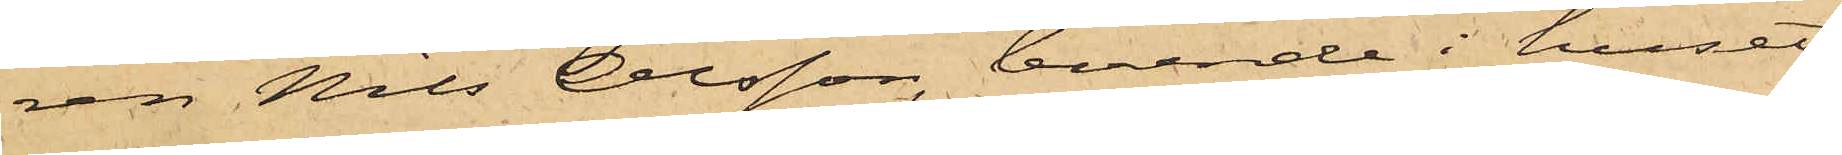ren Nils Olsson, boende i huset
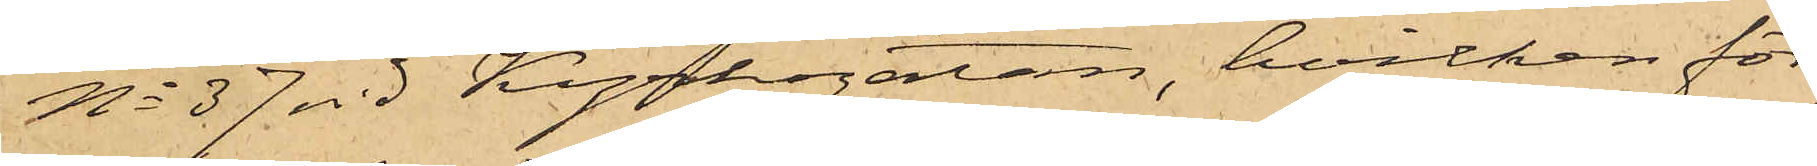No 37 vid Kyrkogatan, hvilken för
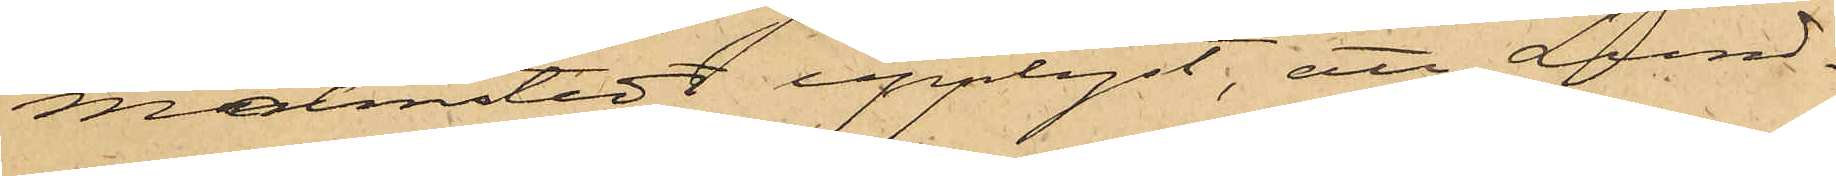Malmstedt upplyst, att Lund¬
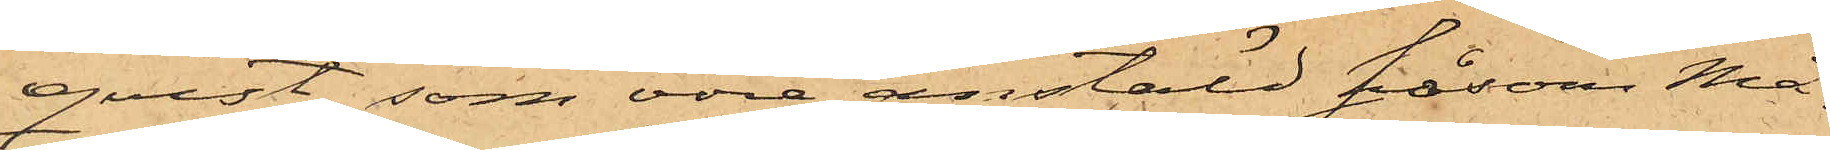qvist, som vore anstäld såsom Må¬
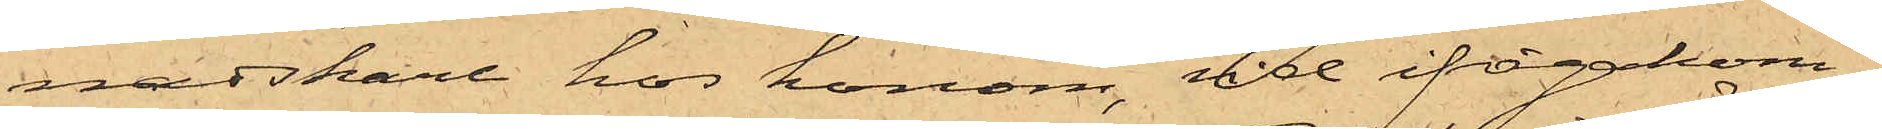nadskarl hos honom, vid ifrågakom¬
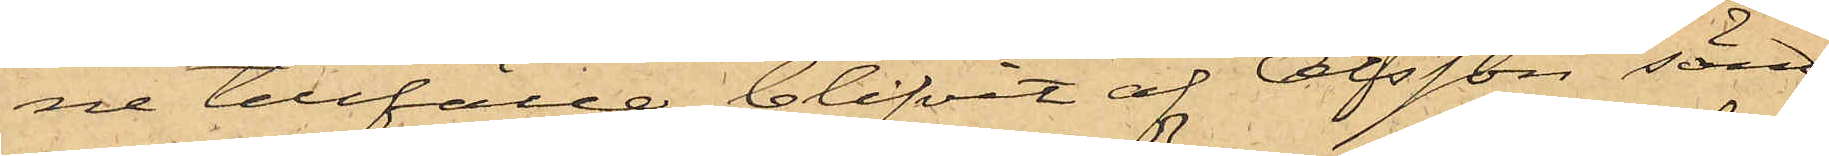ne tillfälle blifvit af Olsson sänd
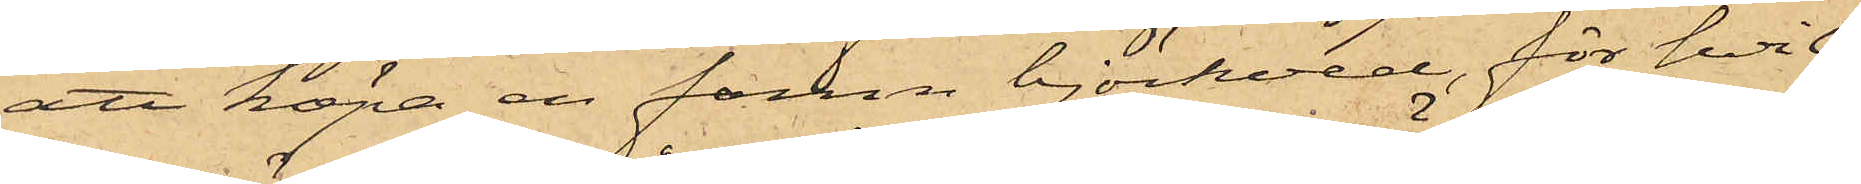att köpa en famn björkved, för hvil¬
